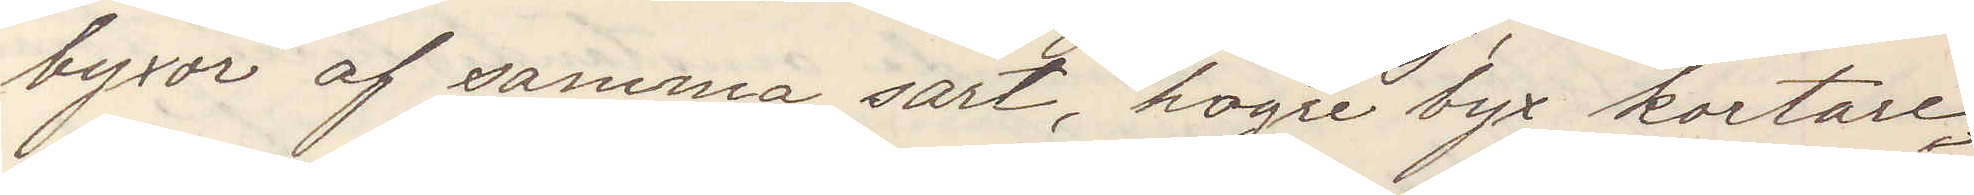byxor af samma sårt, högre byx kortare,
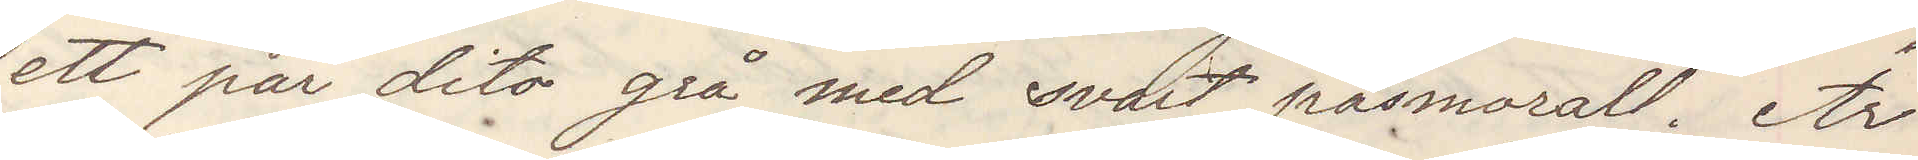ett par dito grå med svart pasmorall. Är
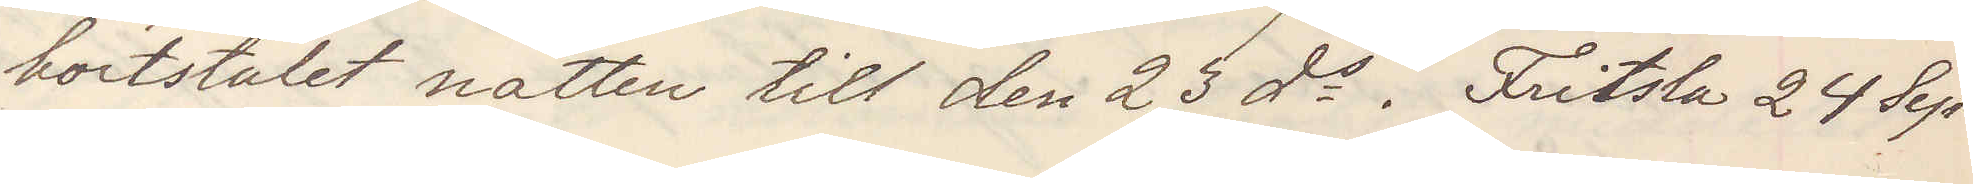bortstulet natten till den 23 ds. Fritsla 24 Sep¬
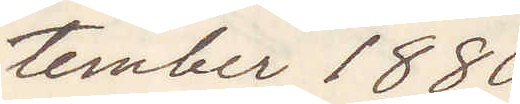tember 1880
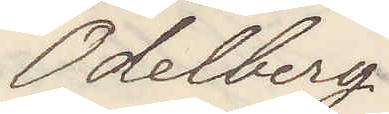Odelberg
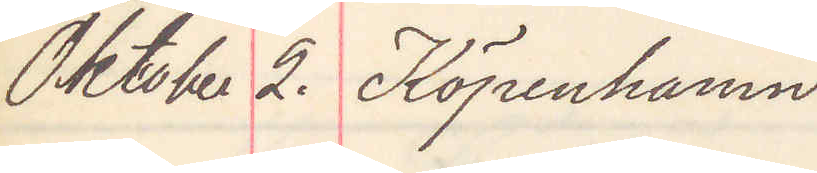Oktober 2. Köpenhamn
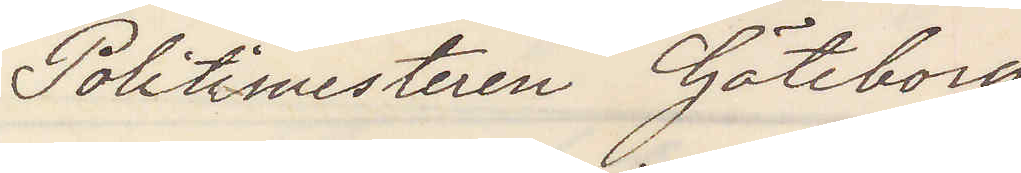Politimesteren Göteborg
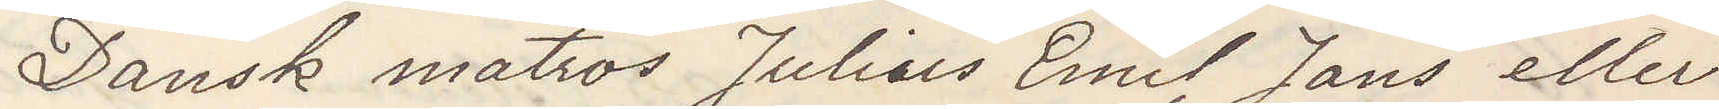Dansk matros Julius Emil Jans eller
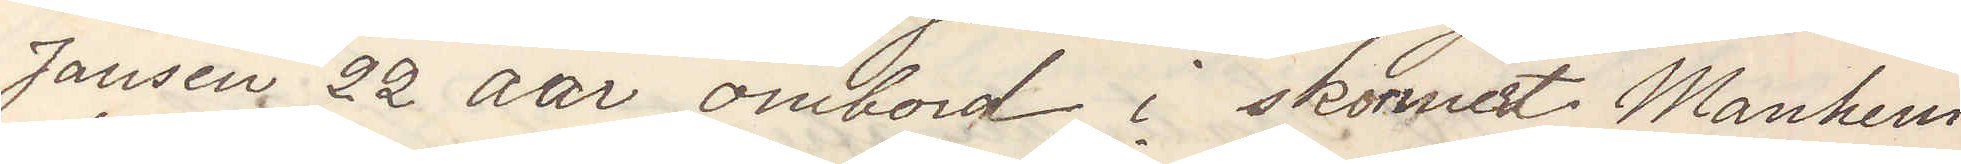Jansen 22 aar ombord i skonert Manhem
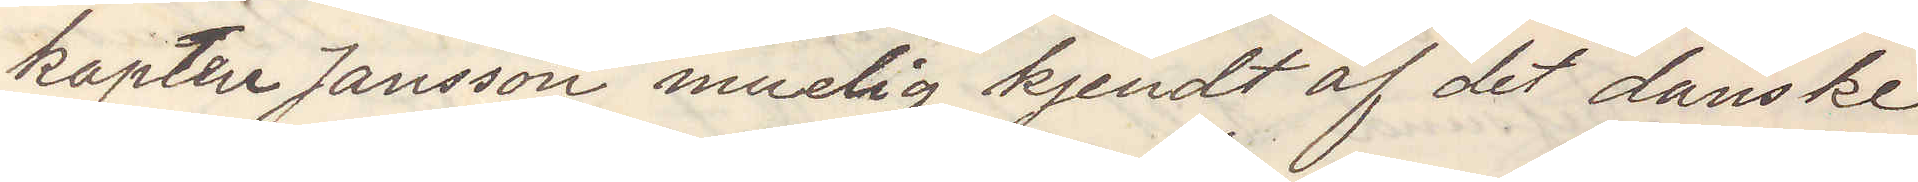kapten Jansson muelig kjendt af det danske
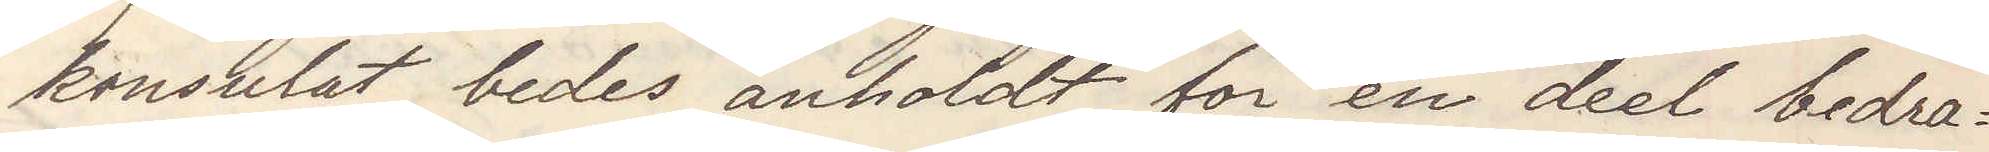konsult, bedes anholdt for en deel bedra¬
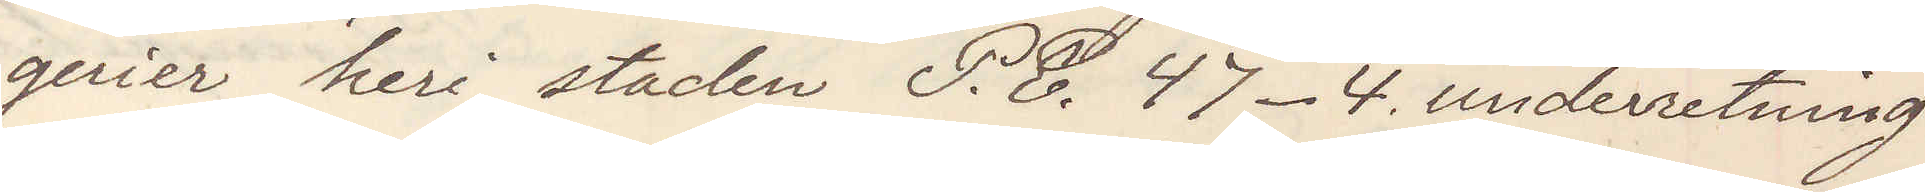gerier heri staden P. E. 47-4 underretning
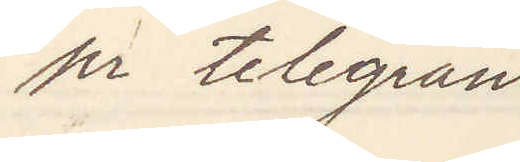pr telegram
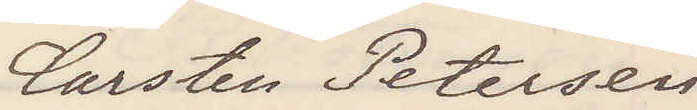Carsten Petersen
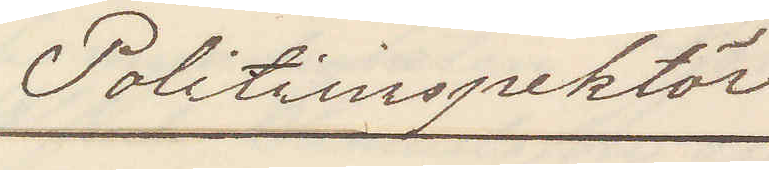Politiinspektör
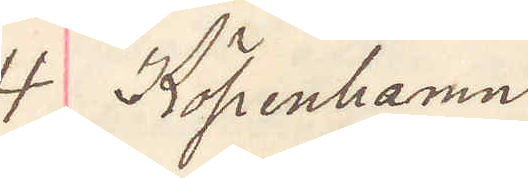4 Köpenhamn
